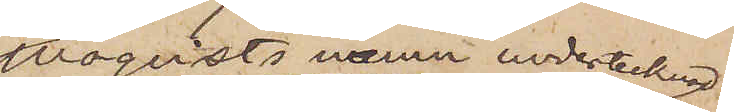Moqvists namn undertecknad
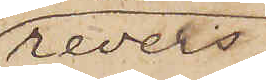revers,
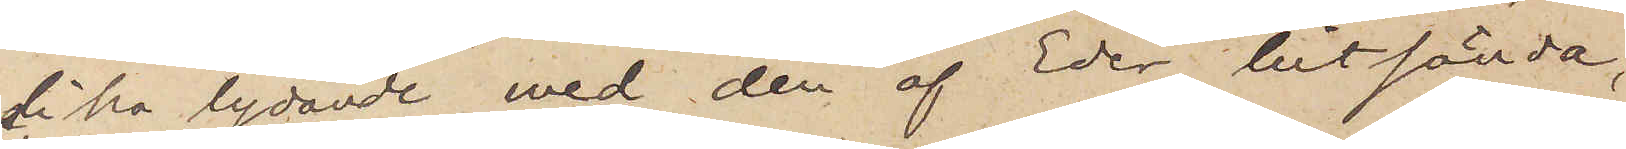likalydande med den af Eder hitsända,
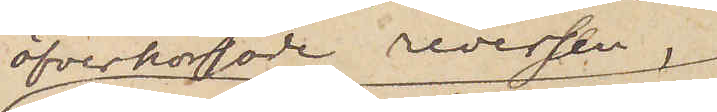öfverkorsade reversen,
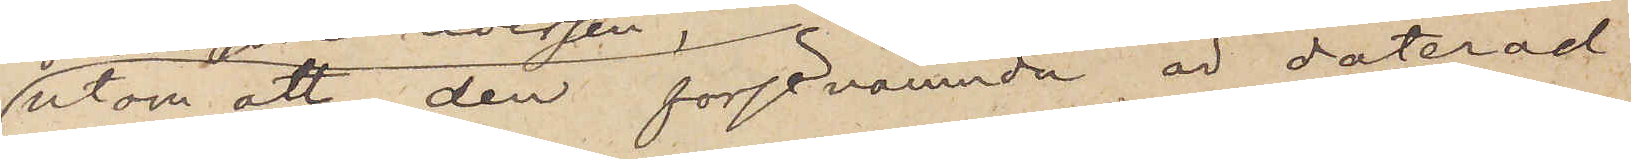utom att den förstnämnde är daterad
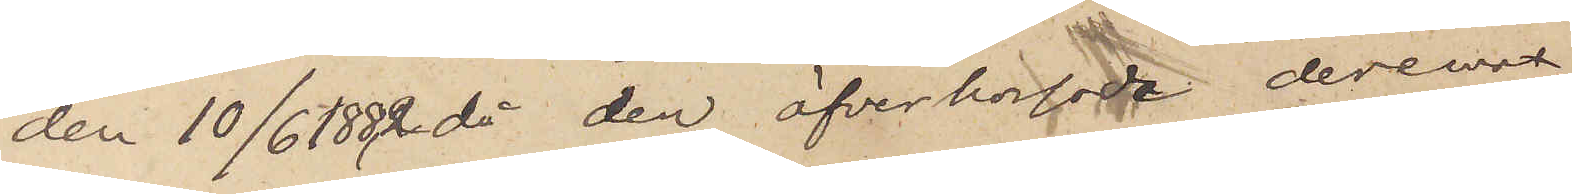den 10/6 1882, då den öfverkorsade reversen
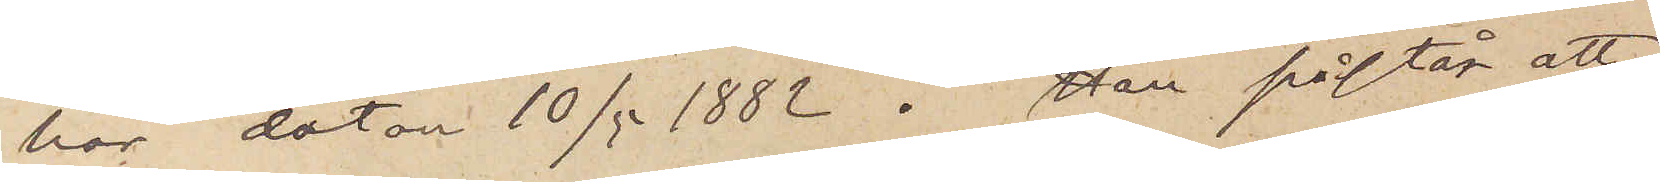har datum 10/5 1882. Han påstår att
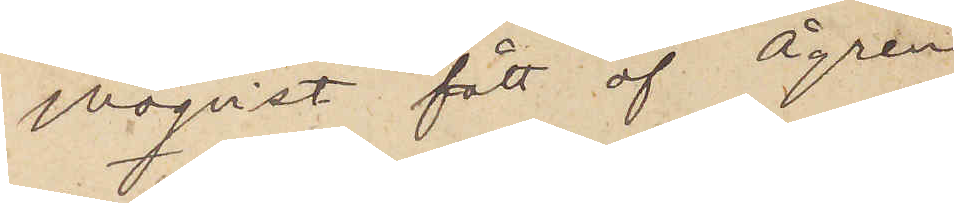Moqvist fått af Ågren
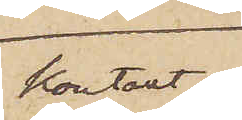kontant
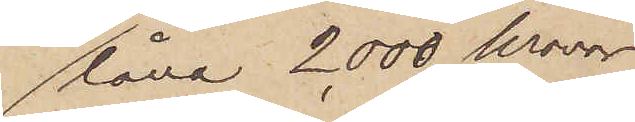låna 2 000 kronor
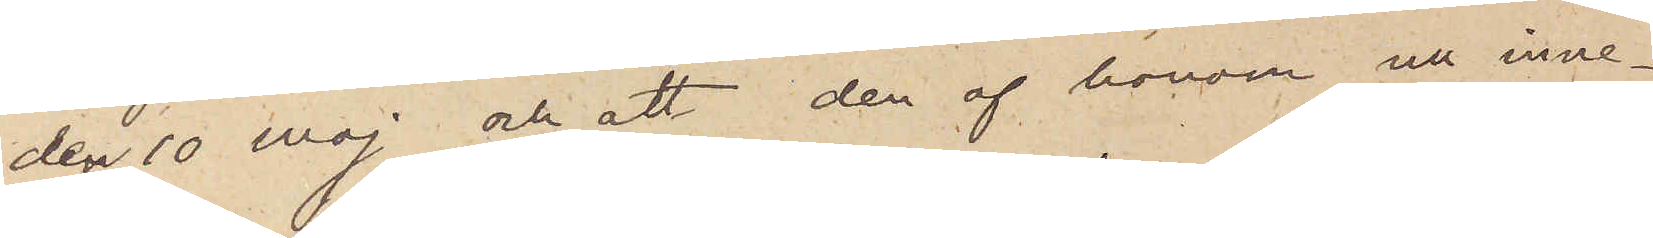den 10 maj, och att den af honom nu inne¬
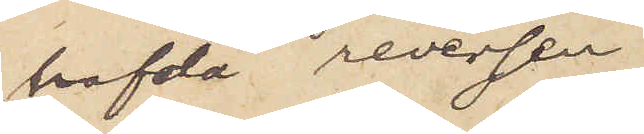hafda reversen
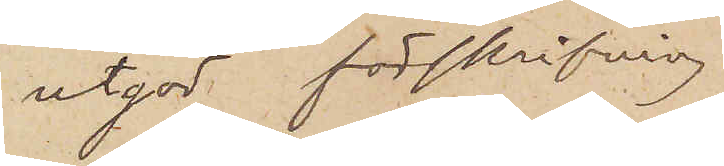utgör förskrifning
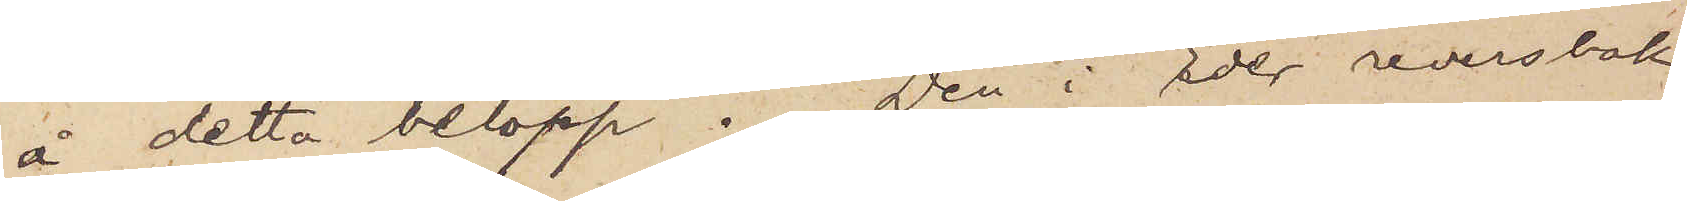å detta belopp. Den i Eder reversbok
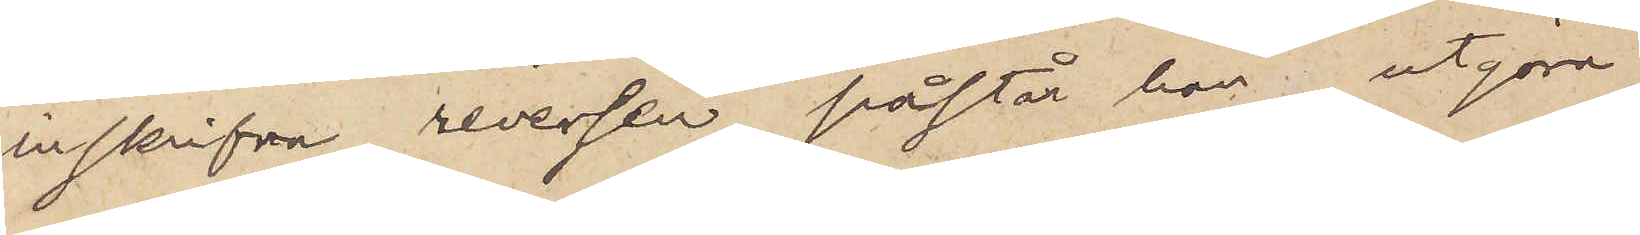inskrifna reversen påstår han utgöra
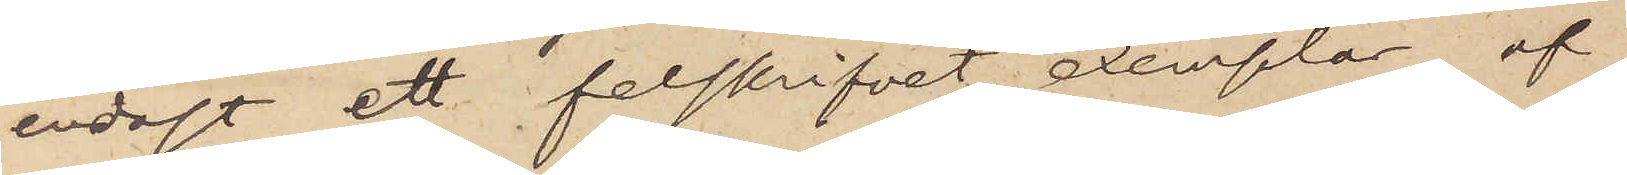endast ett felskrifvet exemplar af
